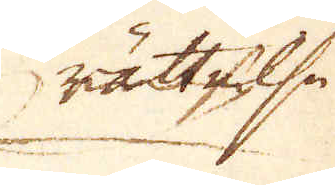rättelse
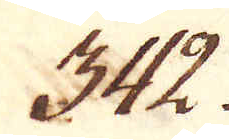342.
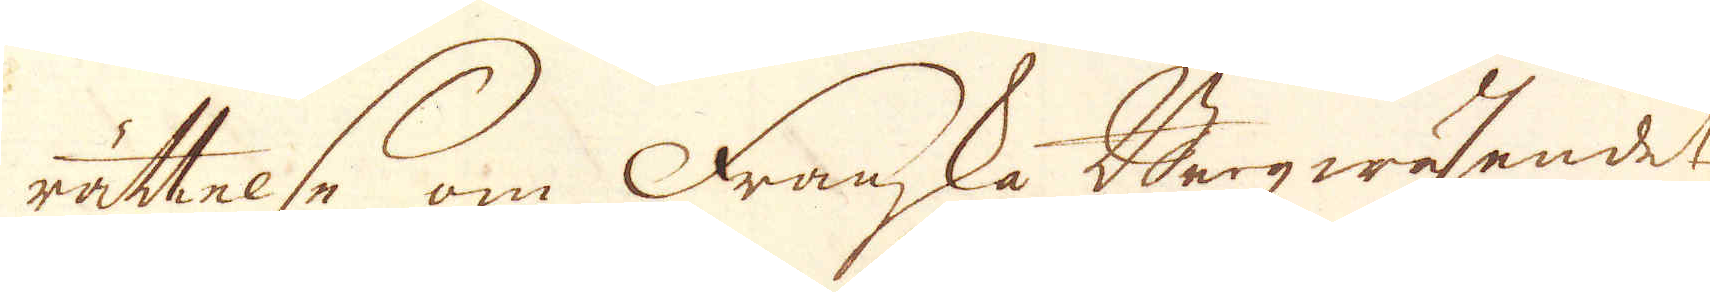rättelse om Franska Bergwäsendet
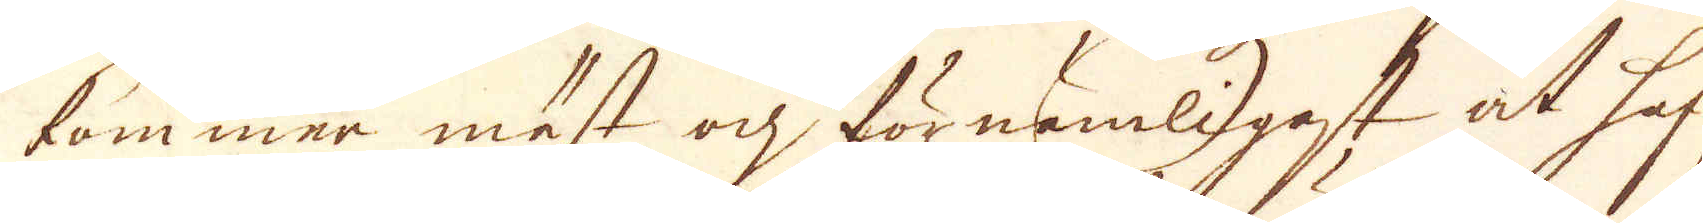kommer mest och förnemligast at haf-
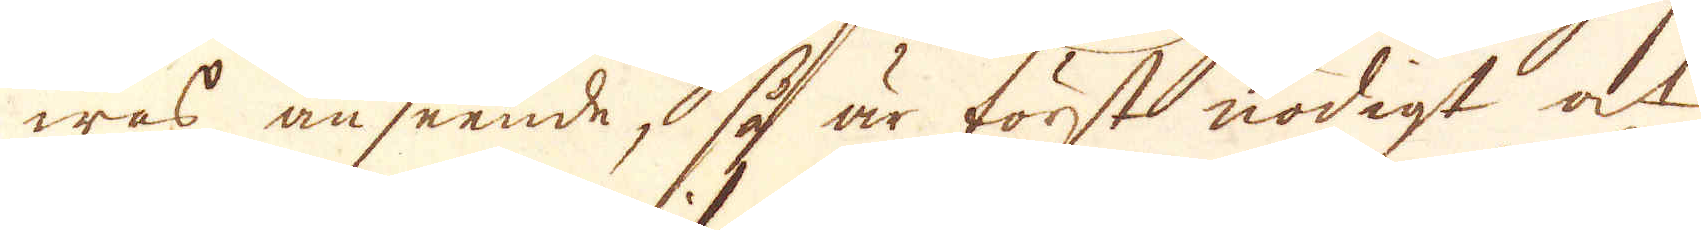was anseende, så är först nödigt at
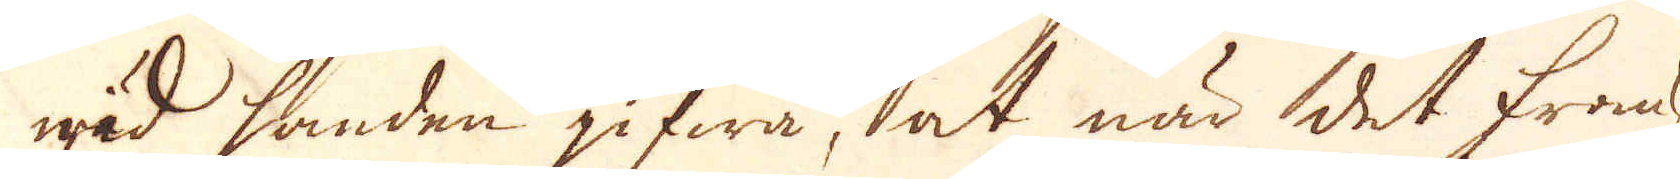wid handen gifwa, at när det Franska
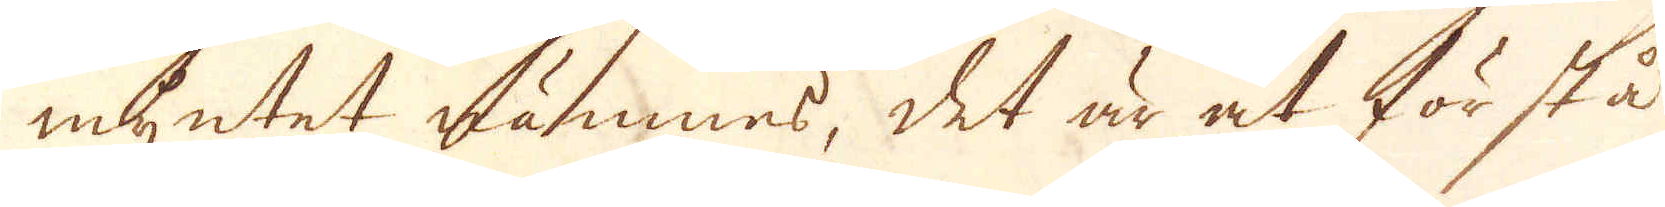myntet nämnes, det är at förstå
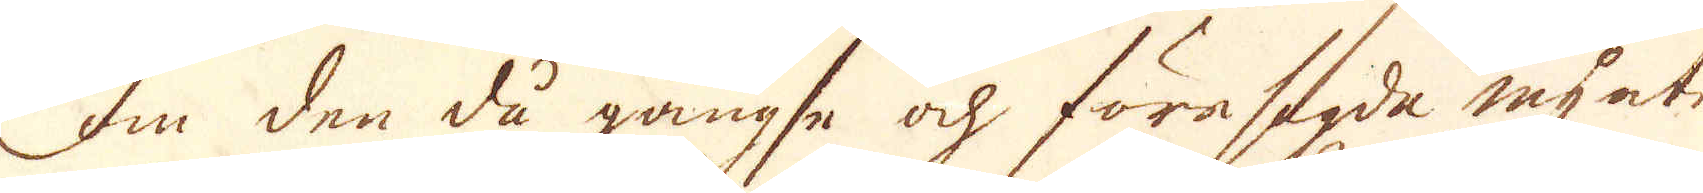om den då gängse och föresagda mynt-
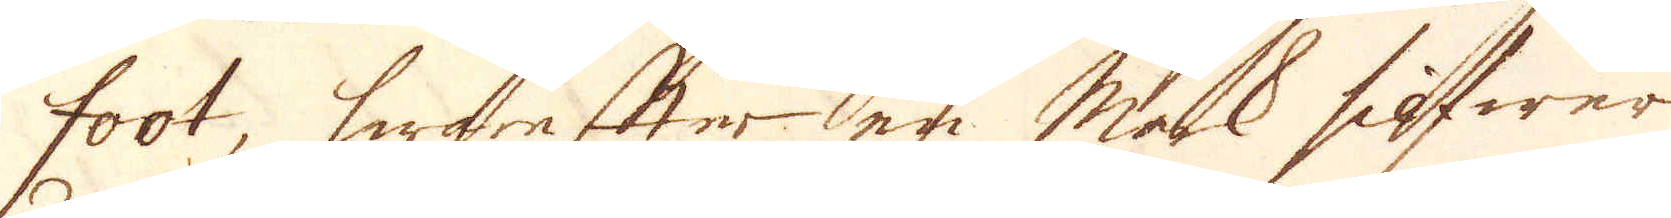foot, hwarefter en Mark silfwer
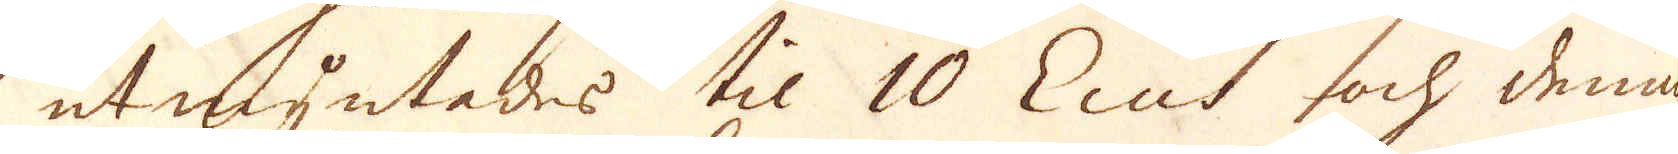utmyntes til 10 Ecus och denna
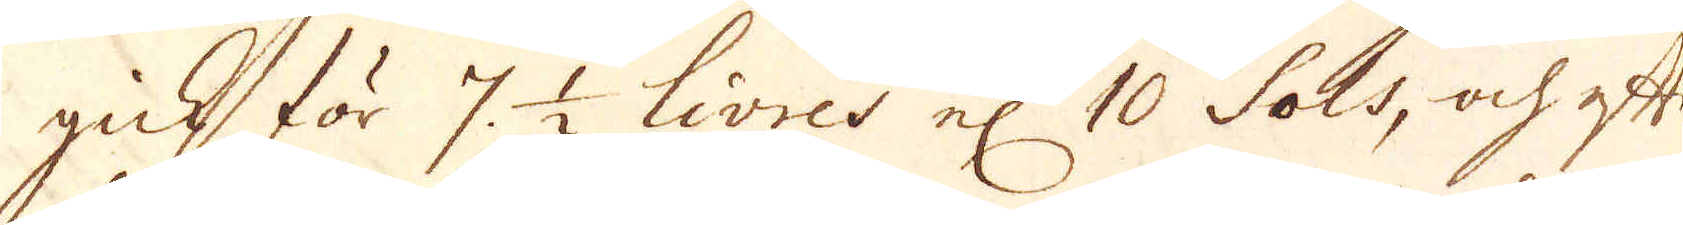gick för 7. 1/2 Livres el 10 Sols, och efter
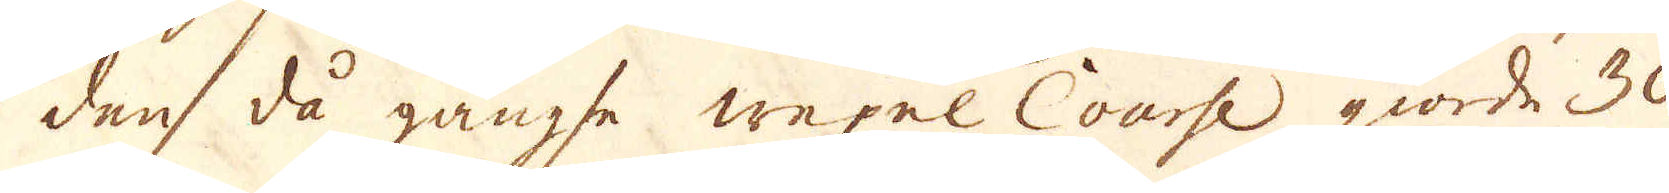den då gängse wexel Course giorde 30
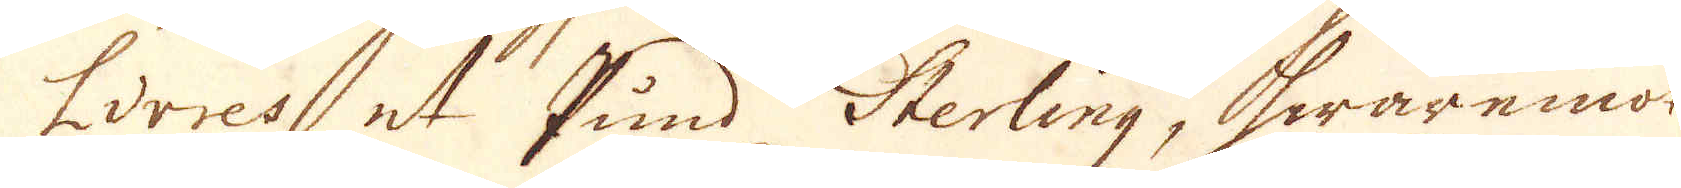Livres et Pund Sterling, hwaremot
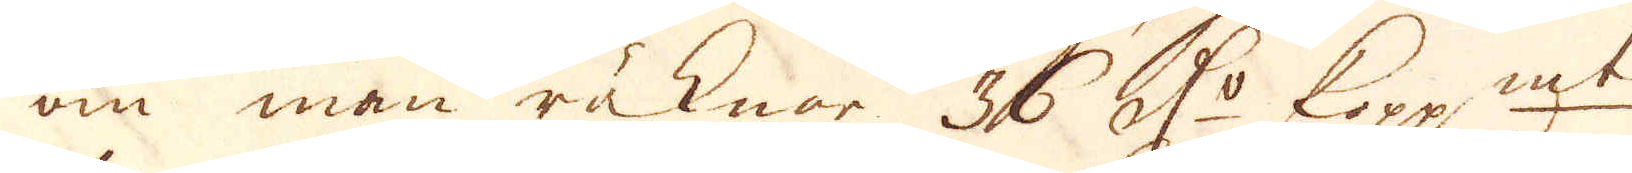om man räknar 36 r:dr Kopp:mt
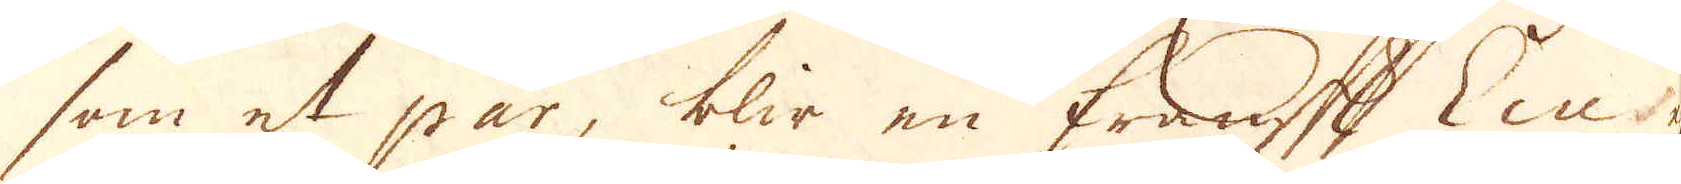som et par, blir en fransk Ecu ej
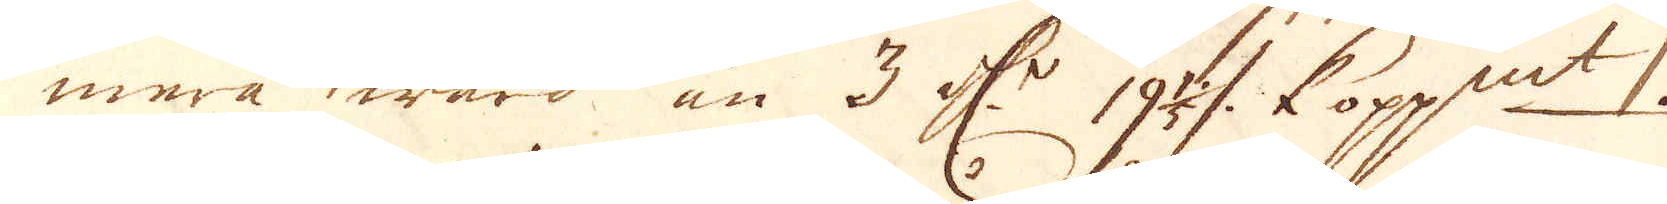mera wärd än 3 r:dr 19 1/5 %  kopp:mt.
